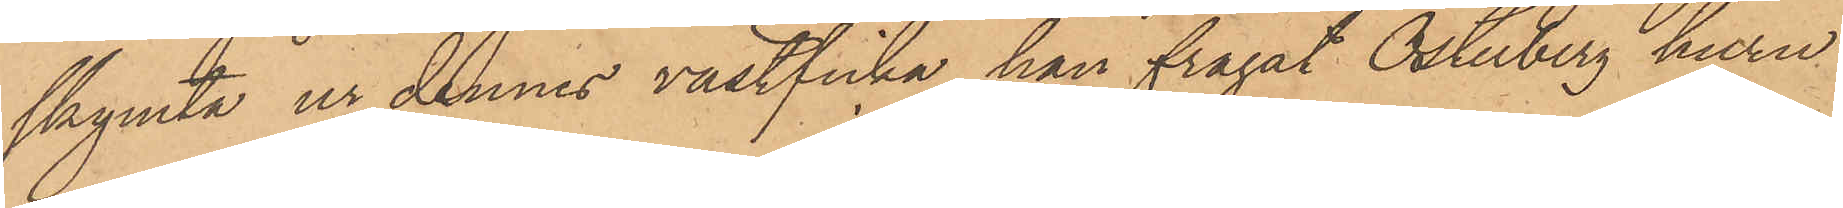skymta ur dennes västficka, han frågat Österberg huru
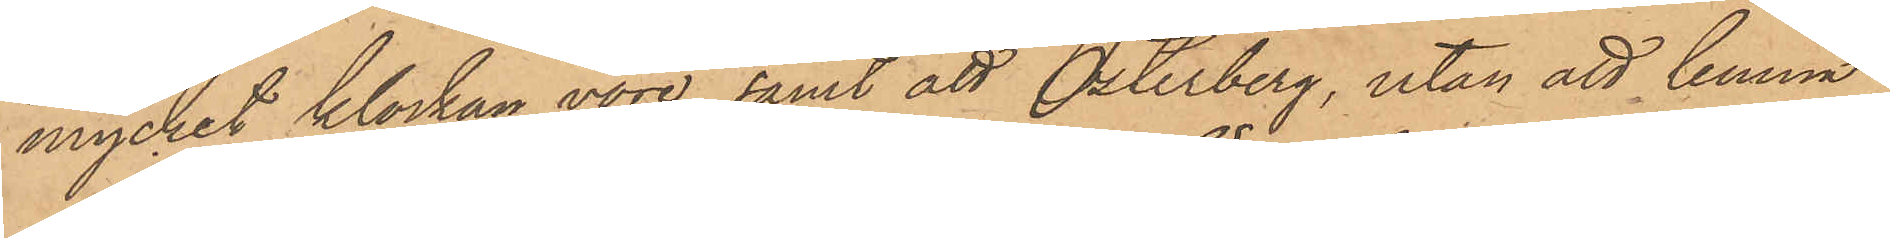mycket klockan vore, samt att Österberg, utan att lemna
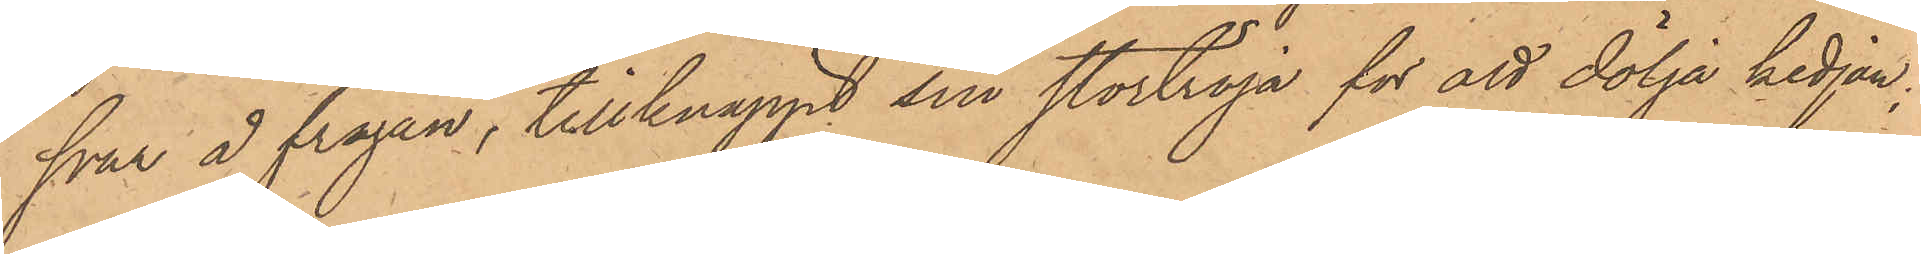svar å frågan, tillknäppt sin stortröja för att dölja kedjan;
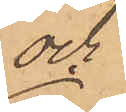och
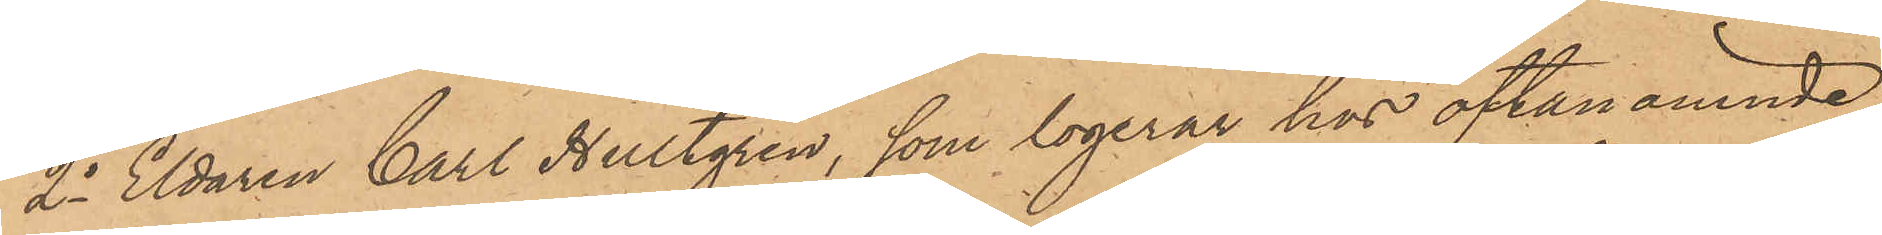2o Eldaren Carl Hultgren, som logerar hos oftanämnde
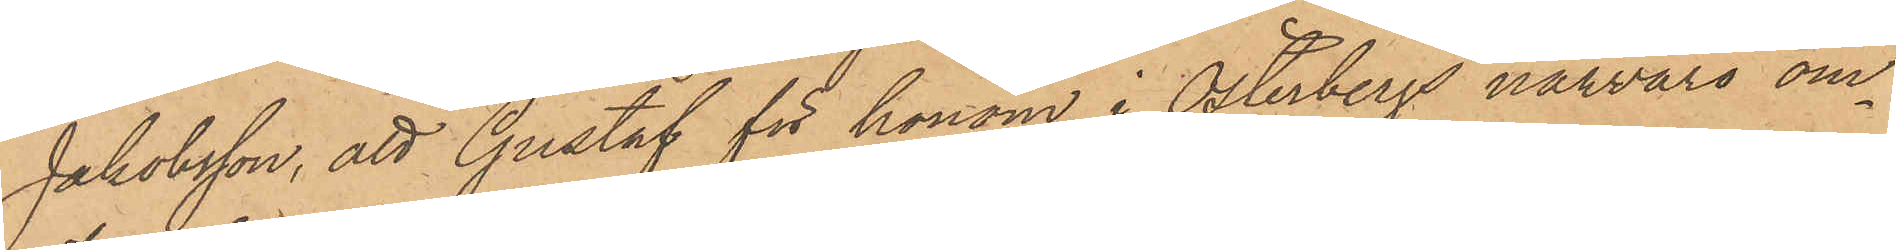Jakobsson, att Gustaf för honom i Österbergs närvaro om¬
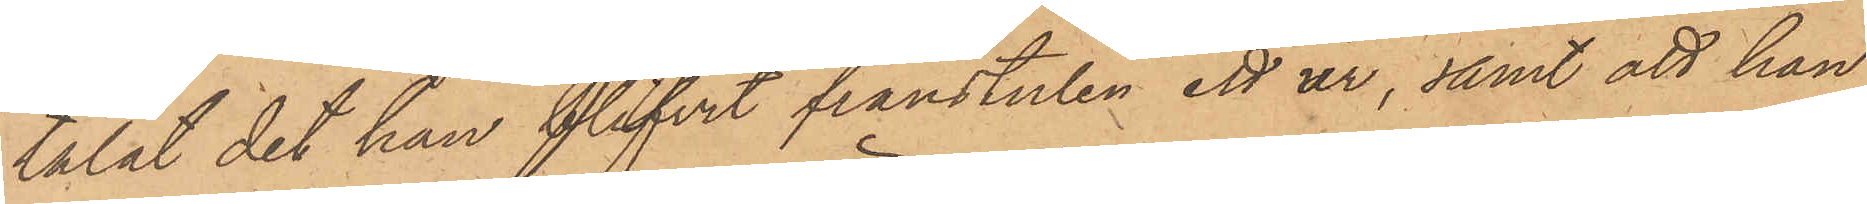talat det han blifvit frånstulen ett ur, samt att han
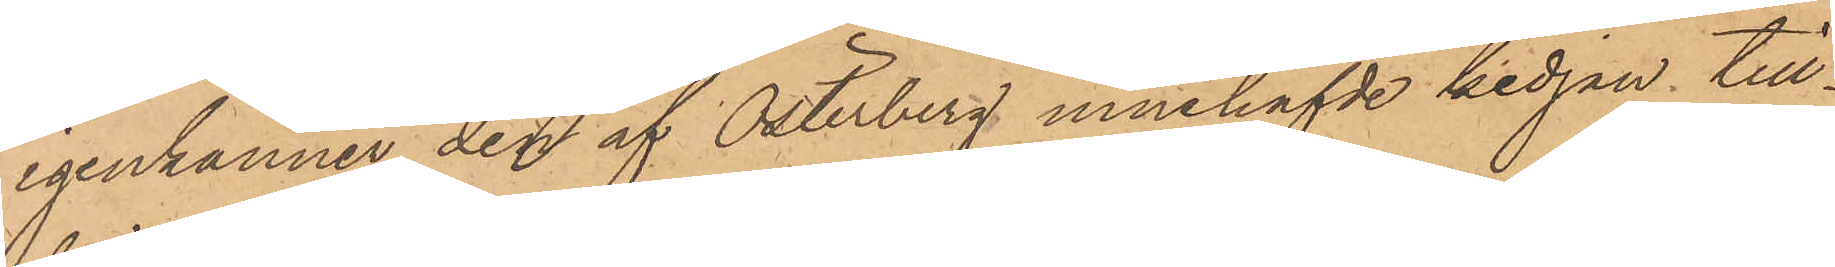igenkänner den af Österberg innehafvde kedjan till¬
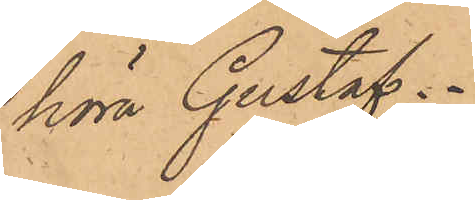höra Gustaf.
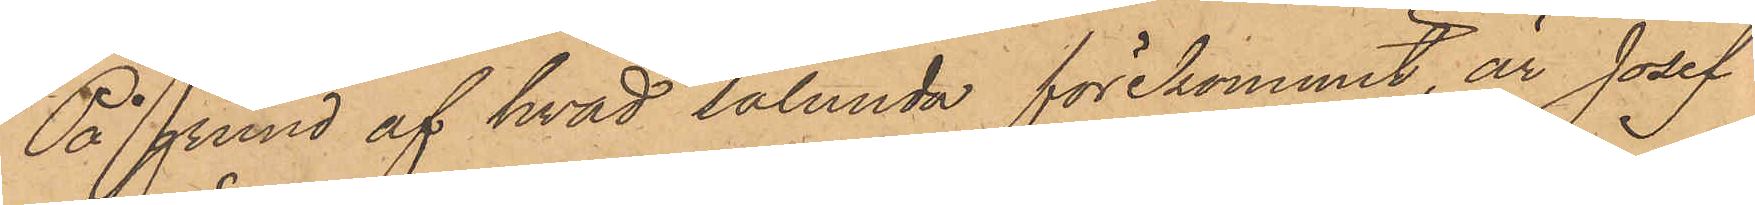På grund af hvad sålunda förekommit, är Josef
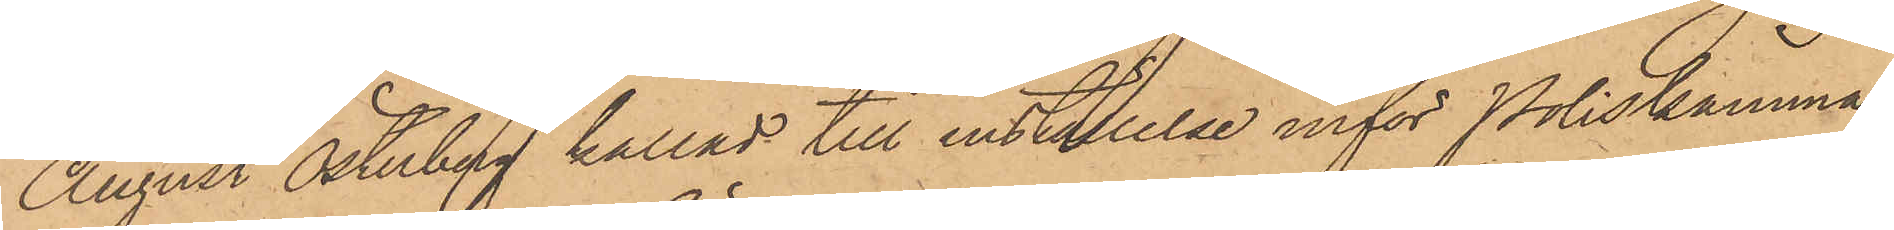August Österberg kallad till inställelse inför Poliskamma¬
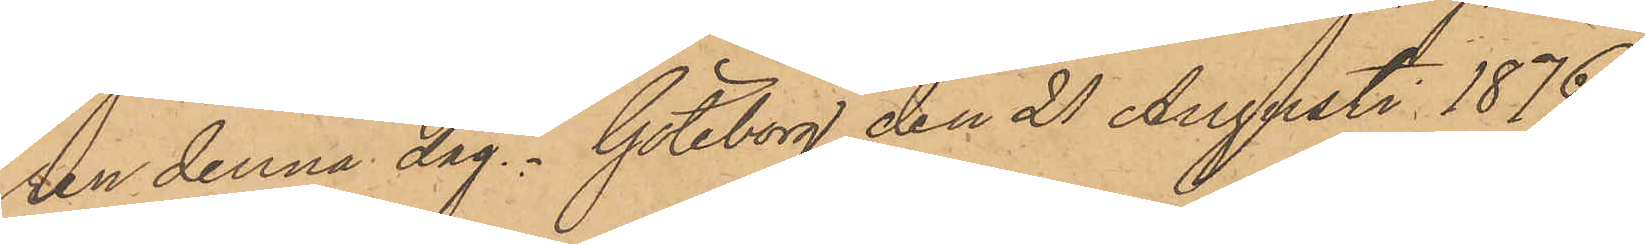ren denna dag. Göteborg den 21 Augusti 1876.
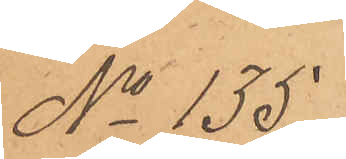No 135
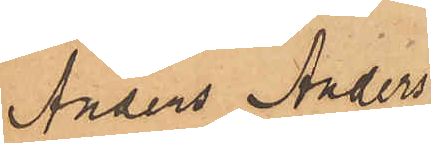Anders Anders¬
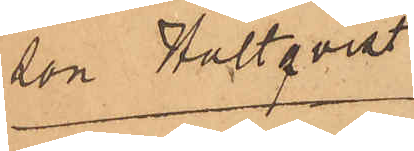son Hultqvist
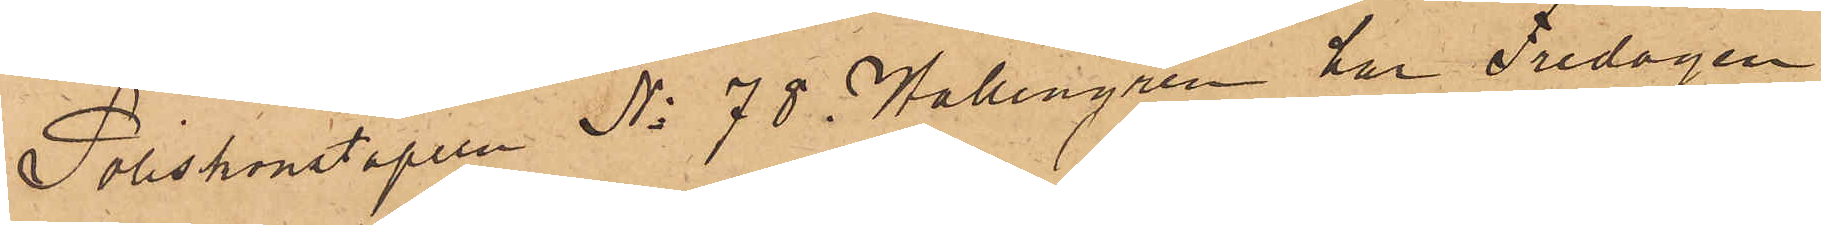Poliskonstapeln No 78 i Hallengren har Fredagen
